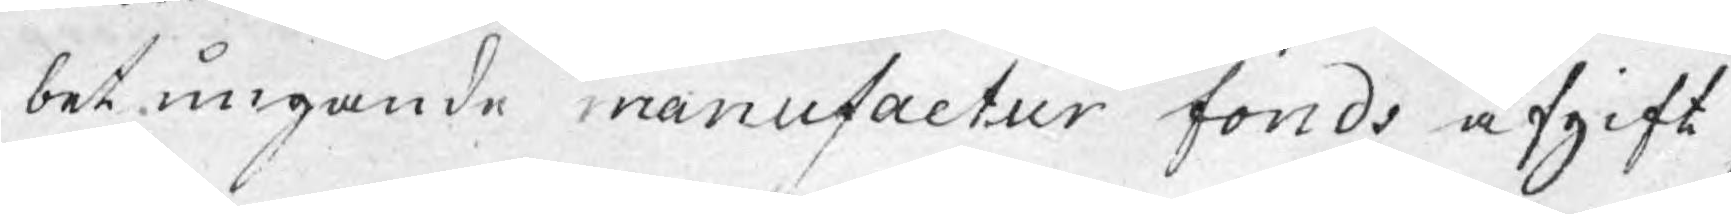betungande manufactur fonds afgift,
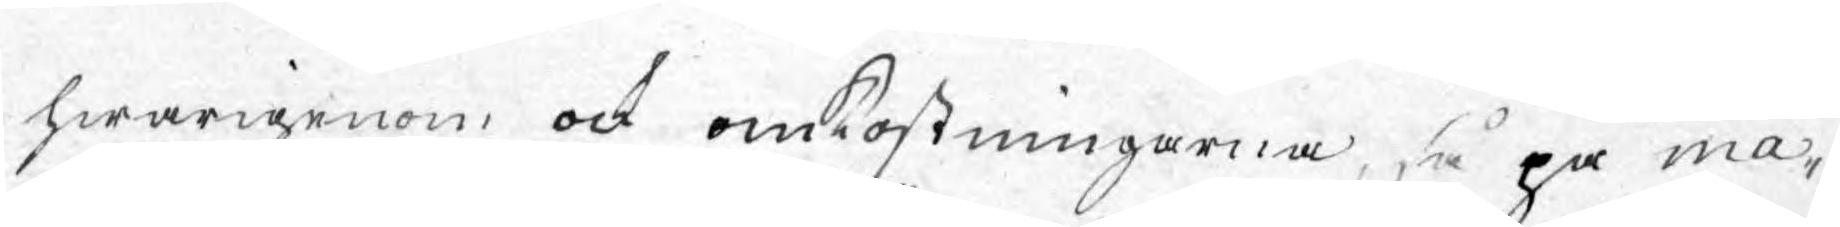hwarigenom ock omkostningarna, så på ma¬
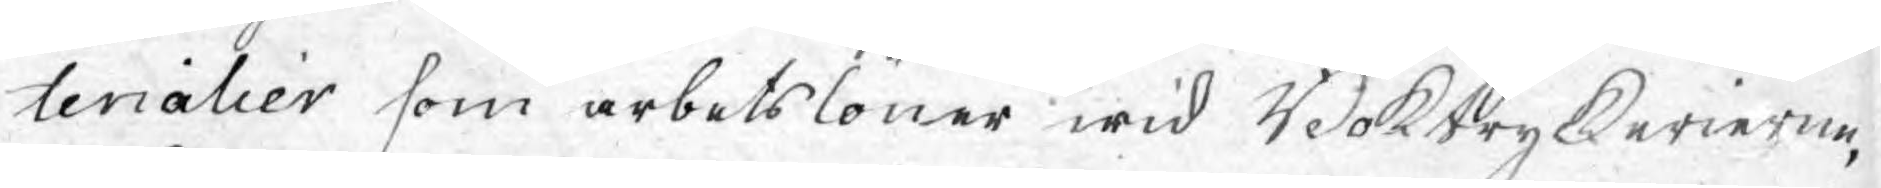terialier som arbetslöner wid Boktryckerierne,
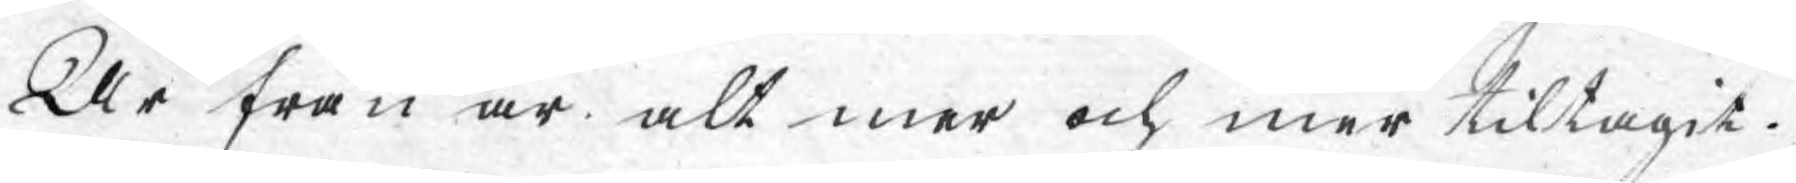År från år alt mer och mer tiltagit.
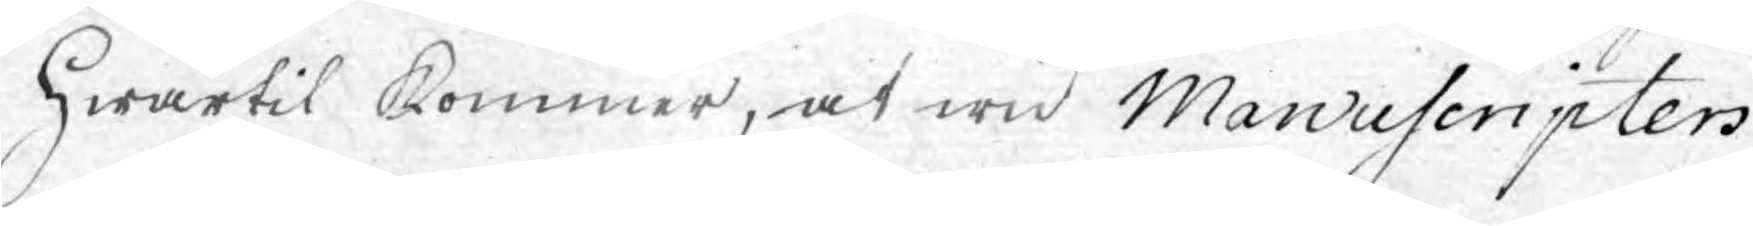Hwartil kommer, at wid Manuscripters
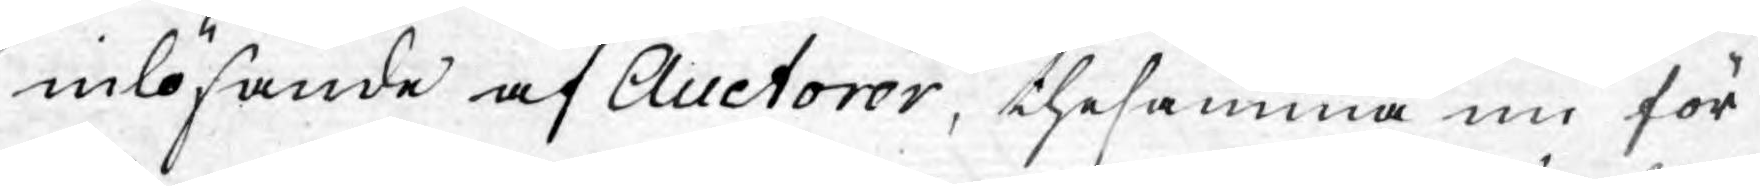inlösande af Auctorer, thesamma nu för
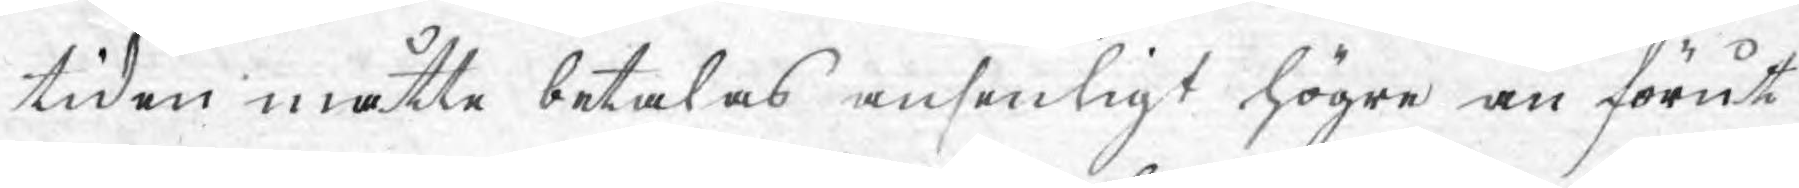tiden måtte betalas ansenligt högre än förut
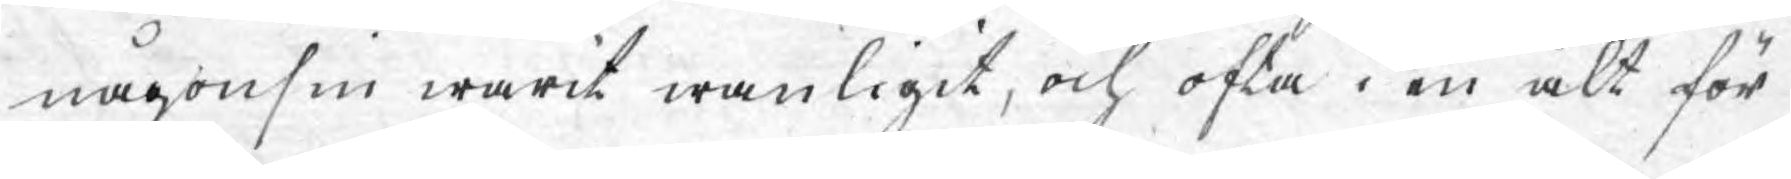någonsin warit wanligit, och ofta i en alt för
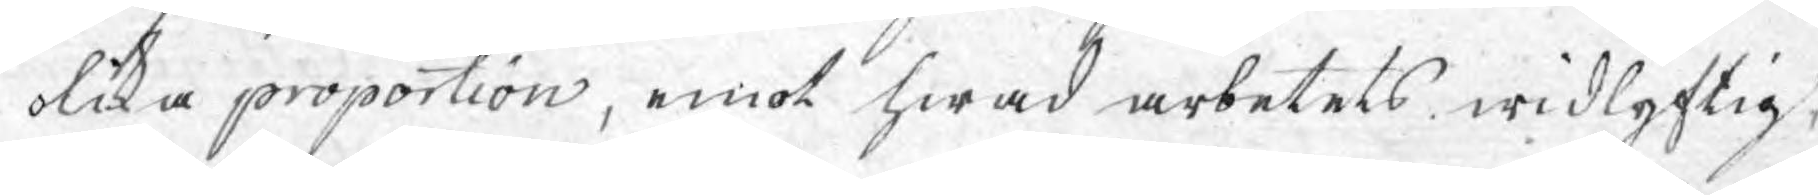olika proportion, emot hwad arbetets widlyftig¬
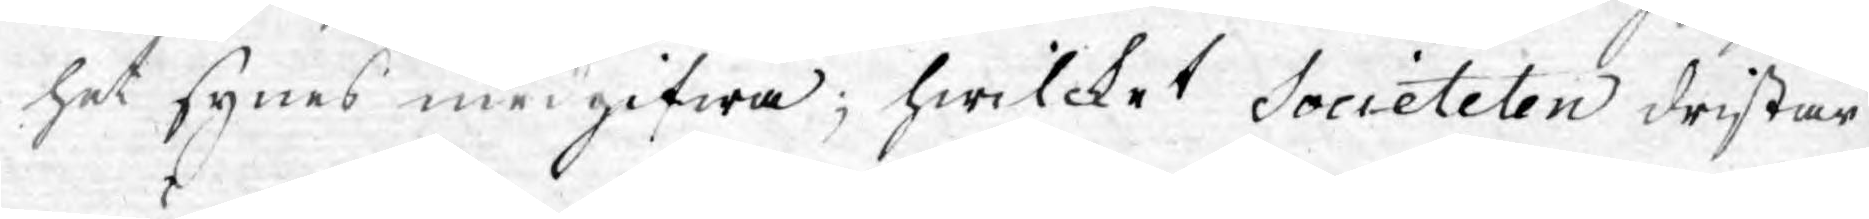het synes medgifwa; hwilcket Societeten dristar
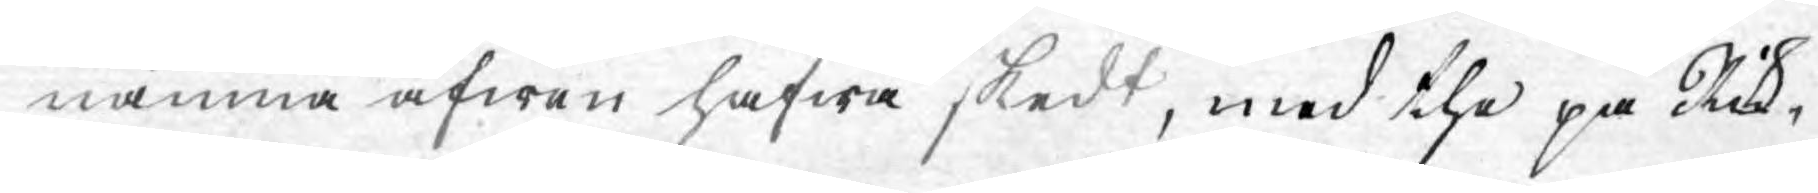nämna äfwen hafwa skedt, med the på Rik¬
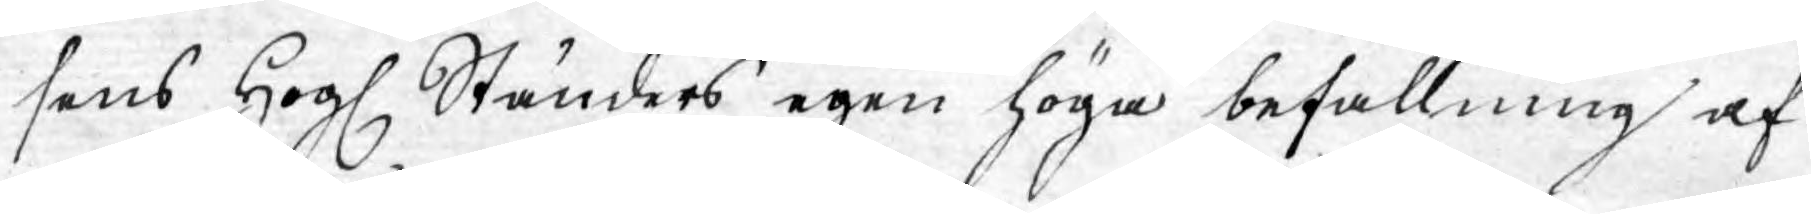sens Högl. Ständers egen höga befallning af
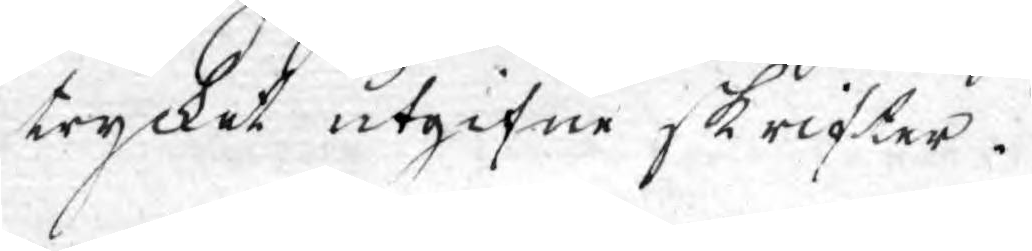trycket utgifne skrifter.
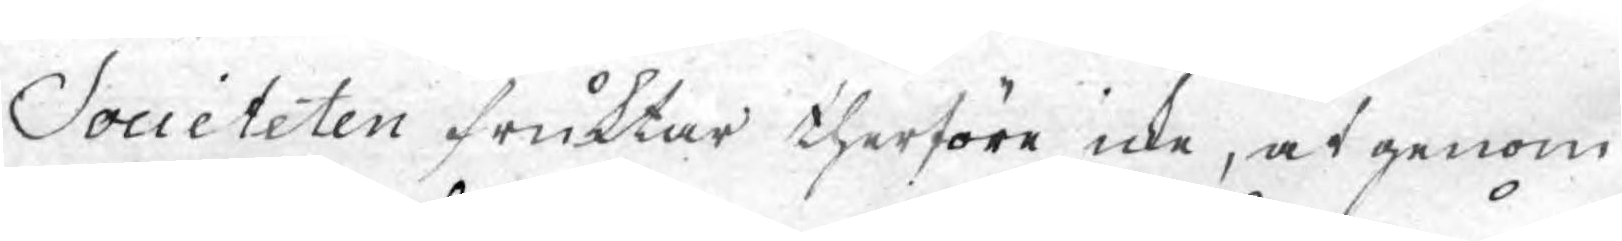Societeten fruktar therföre icke, at genom
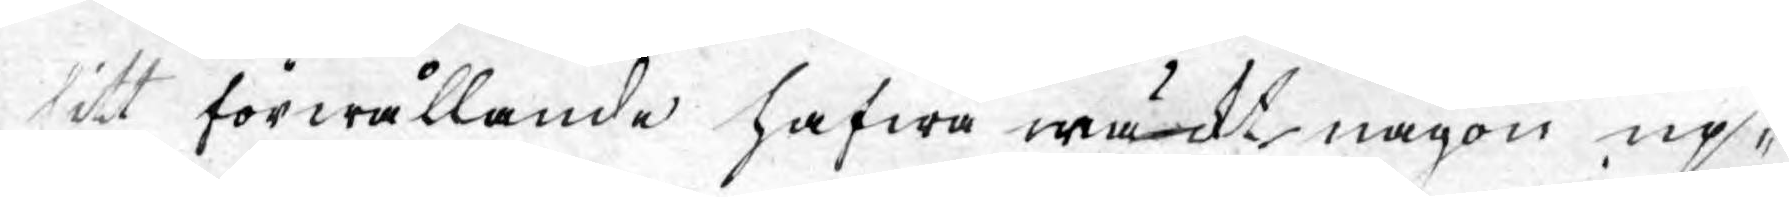sitt förwållande hafwa wäckt någon up¬
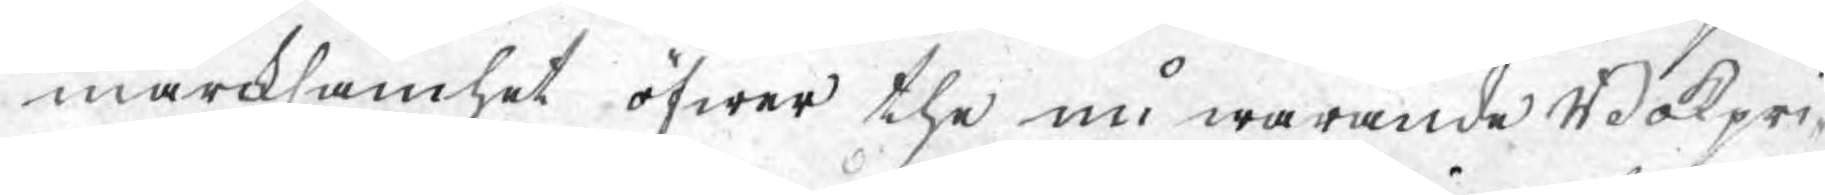märcksamhet öfwer the nu warande Bokpri¬
